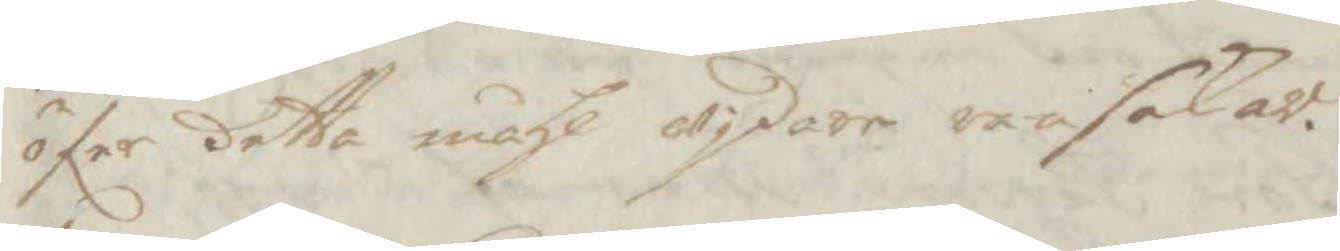öfer detta måhl wjdare ransakar.
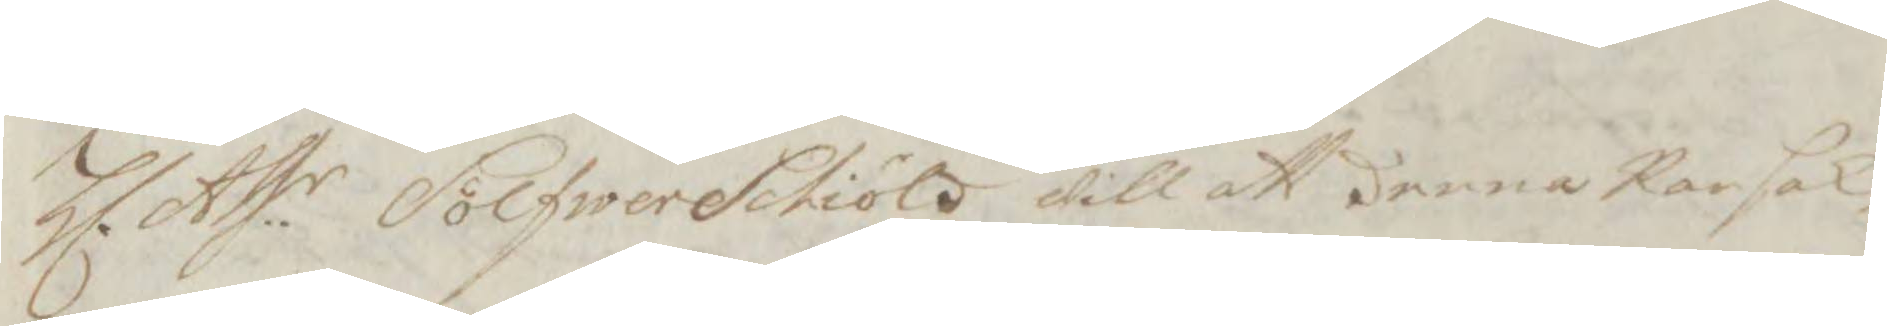Hl. Ass.r Sölfwerschiöld will att denna Ransak¬
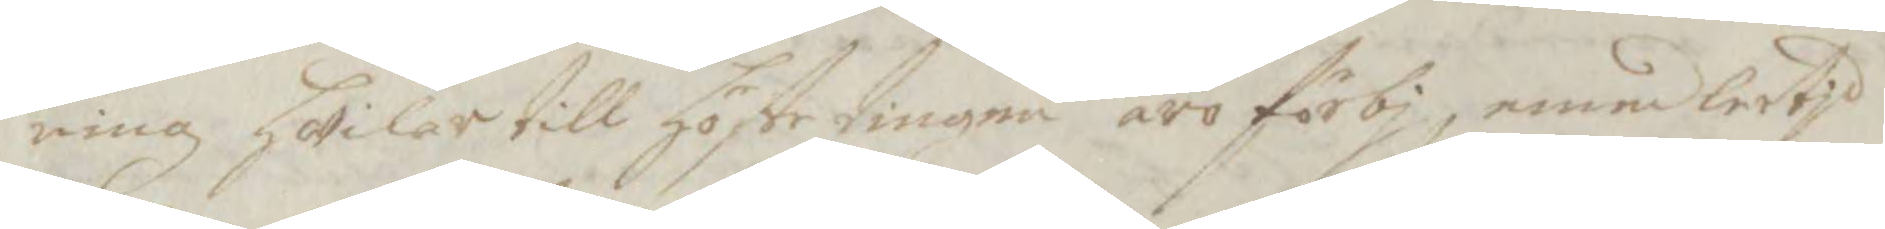ning hwilar till höstetingen äro förbj, emedlertjd
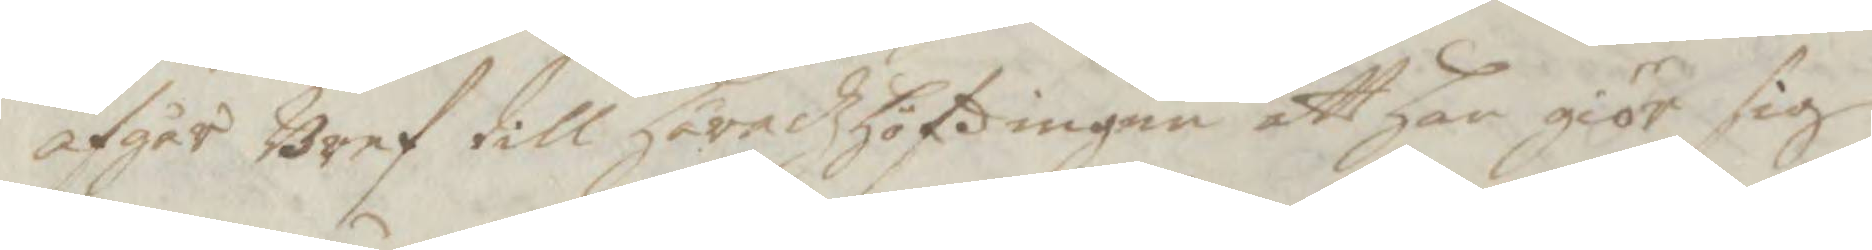afgår Bref till Häradzhöfdingen att han giör sig
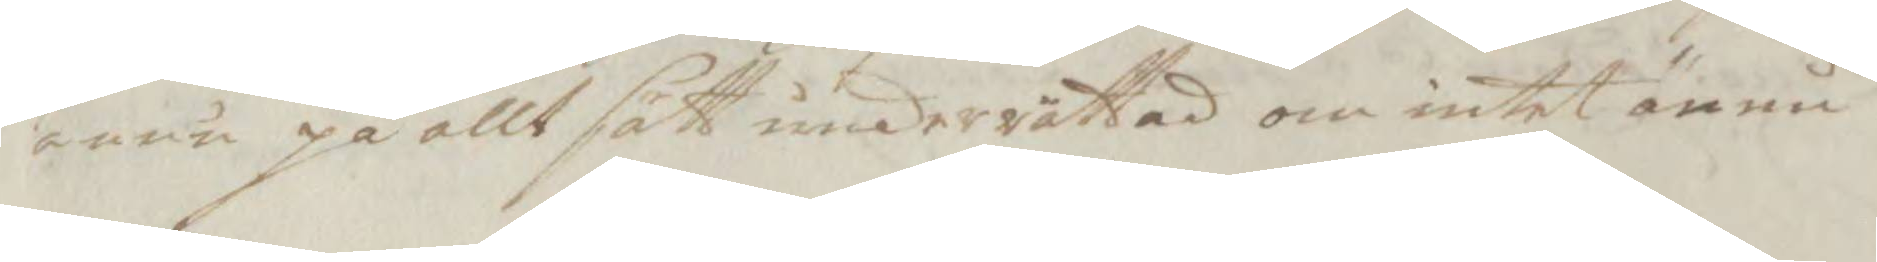ännu på allt sätt underrättad om intet ännu
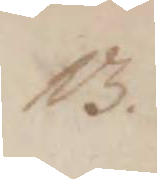13.
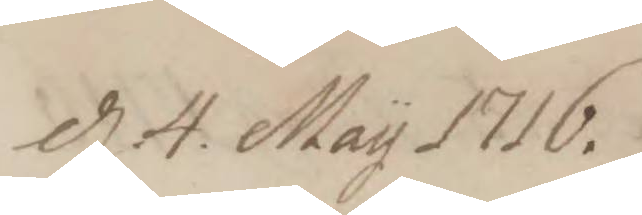d 4. May 1716.
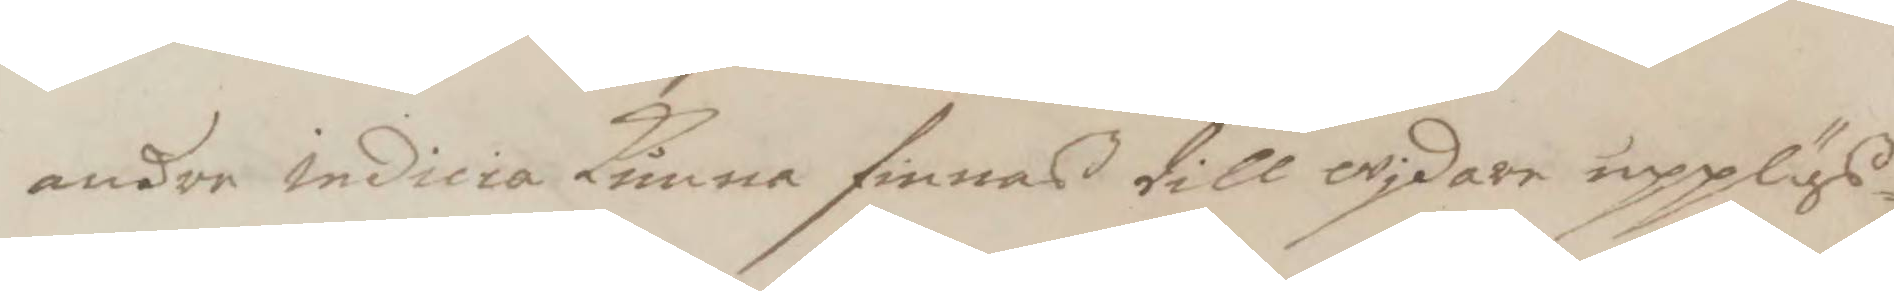andre indicia kunna finnas till wjdare upplys¬
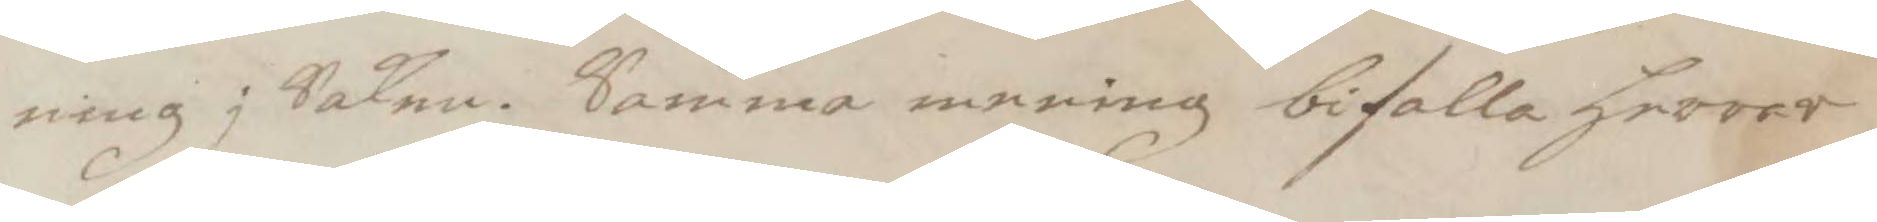ning j Saken. Samma mening bifalla Herrar
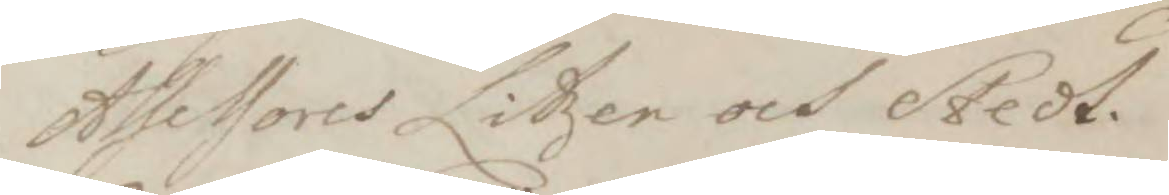Assessores Litzen och Stedt.
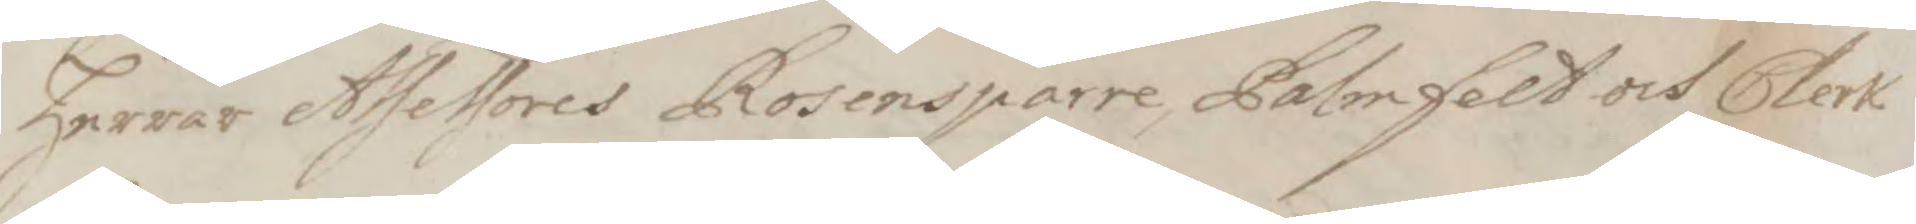Herrar Assessores Rosensparre, Palmfeldt och Clerk
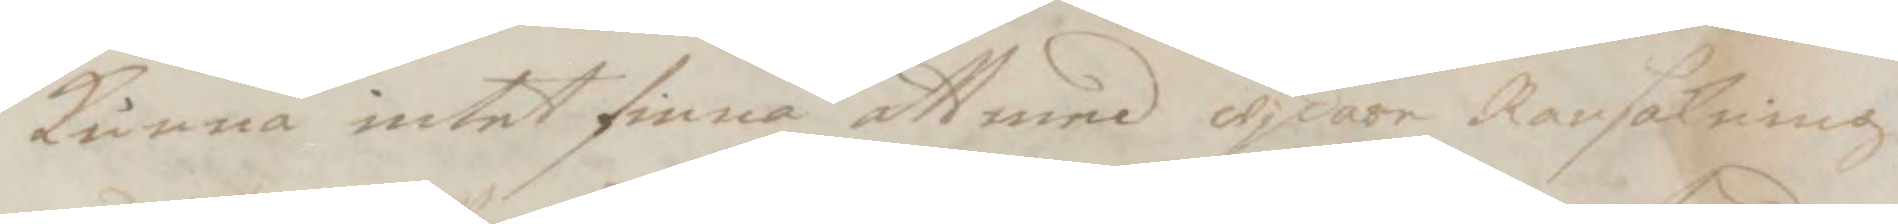kunna intet finna att med wjdare ransakning
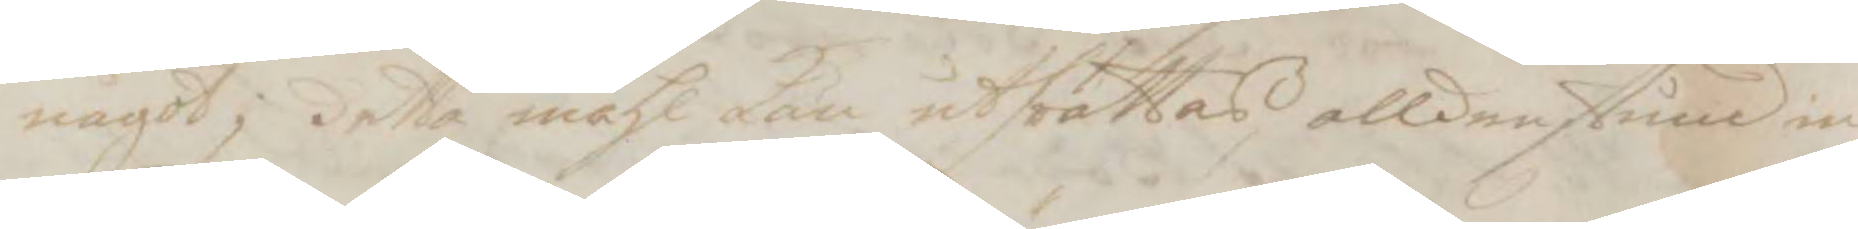något j detta måhl kan uthrättas, alldenstund in¬
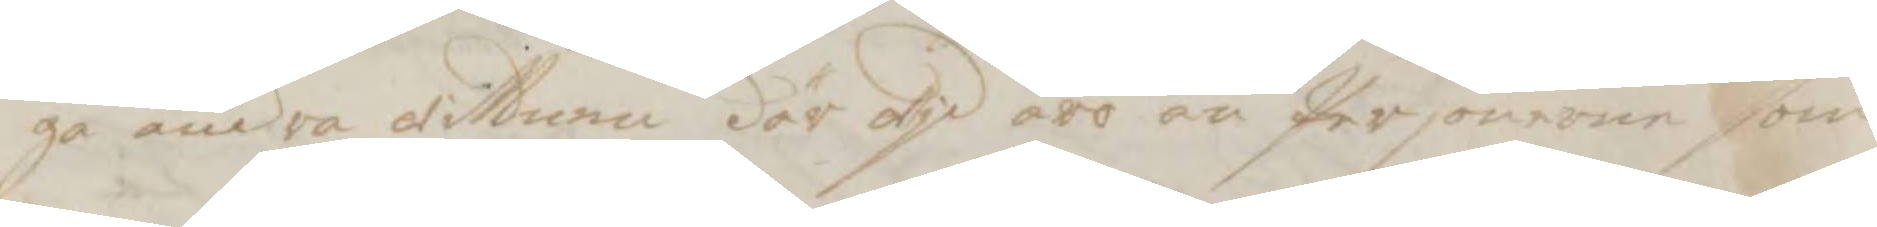ga andra wittnen där wid äro än Personerne som
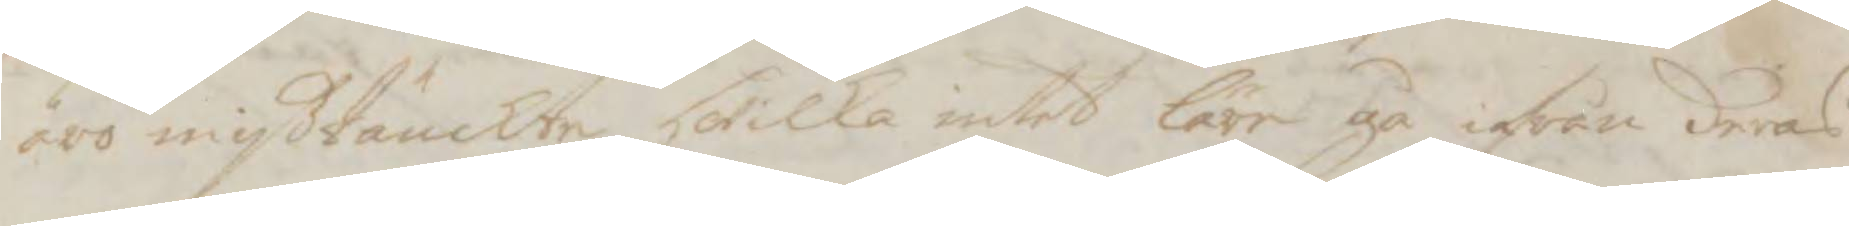äro mißtänckte, hwilka intet läre gå ifrån deras
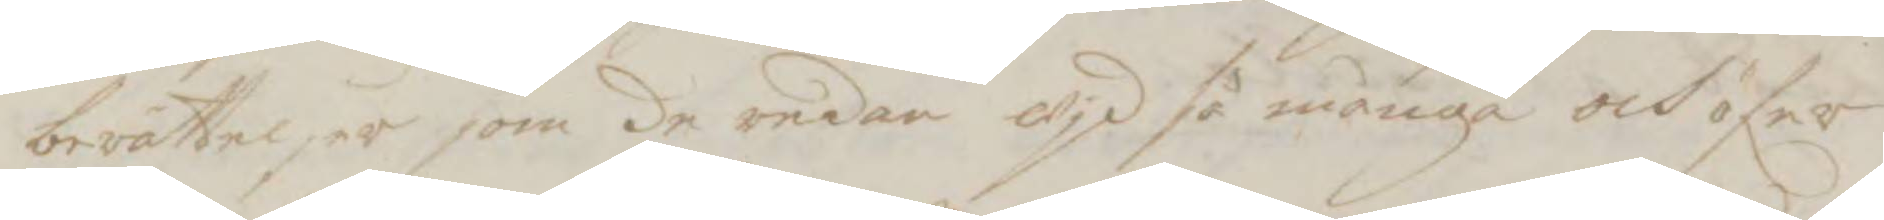berättelser som de redan wjd så många och öfer
